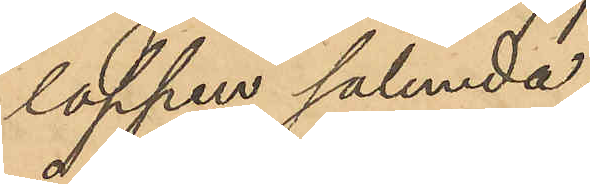loppen sålunda.
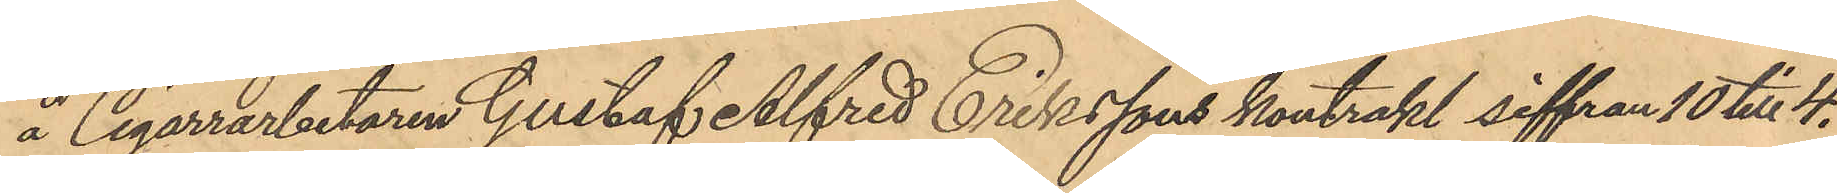å Cigarrarbetaren Gustaf Alfred Erikssons kontrakt siffran 10 till 4.
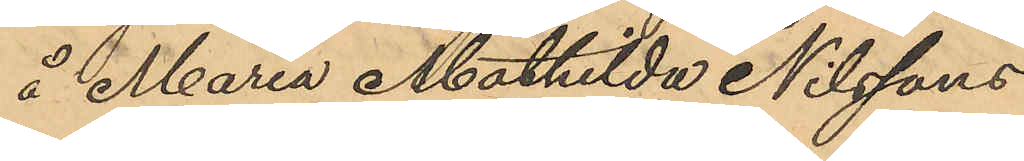å Maria Mathilda Nilssons
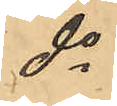do
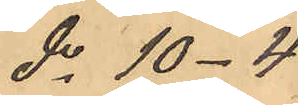do 10-4
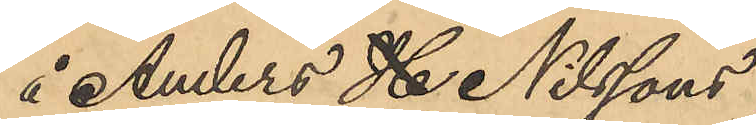å Anders H Nilssons
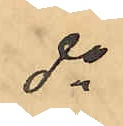do
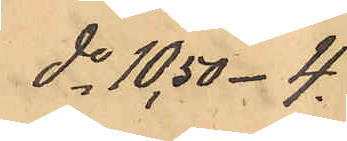do 10,50-4.
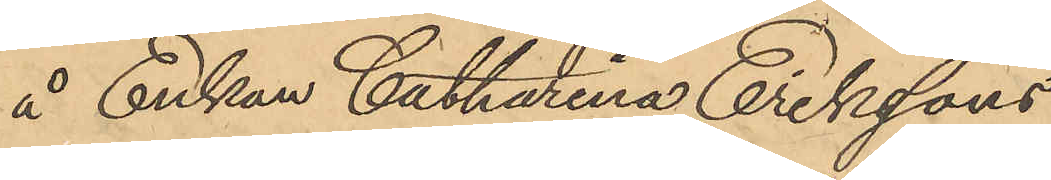å Enkan Catharina Erikssons
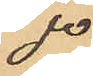do
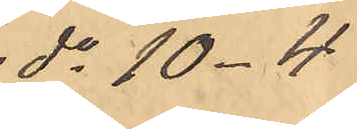do 10-4
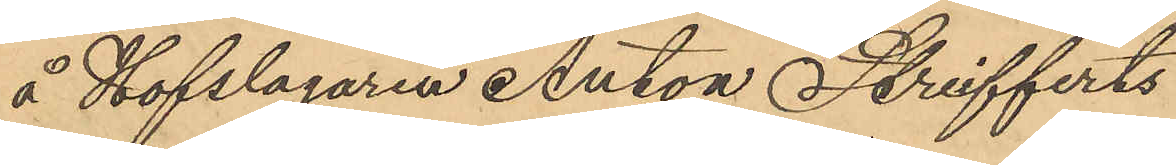å Hofslagaren Anton Strifferts
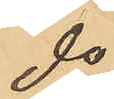do
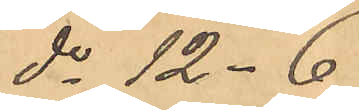do 12-6
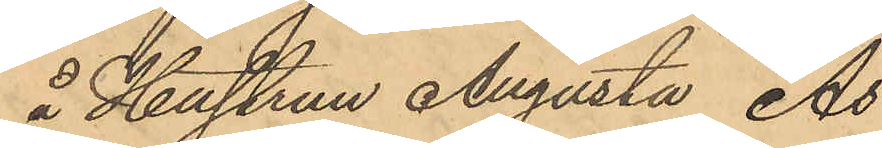å Hustrun Augusta As
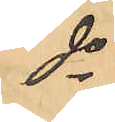do
